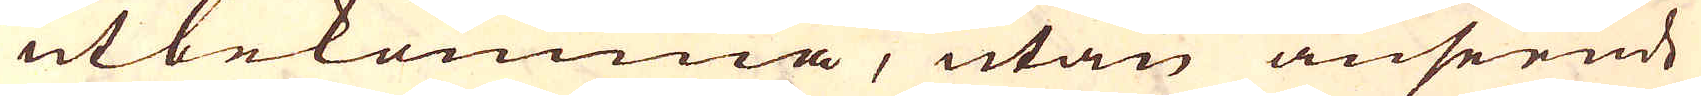utbekomma, utan anseende
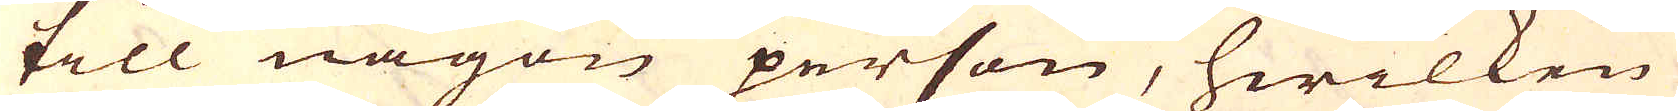till någon person, hwilken
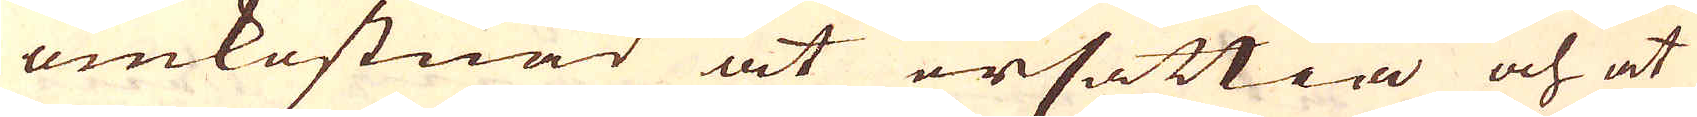omkostnad at ersättia och at
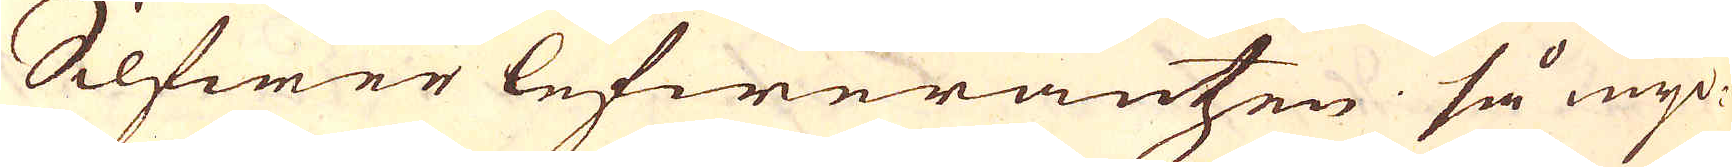Silfwer lefwerantzen så myc-
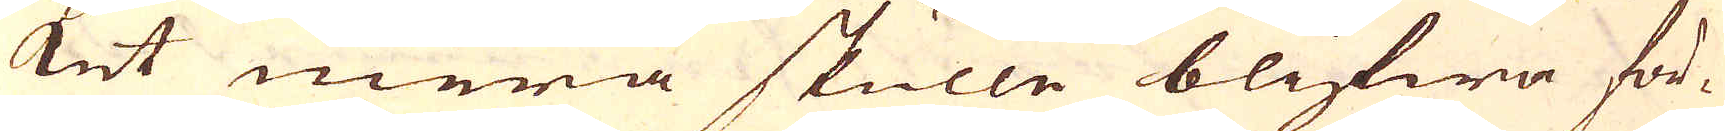ket mera skulle blifwa för-
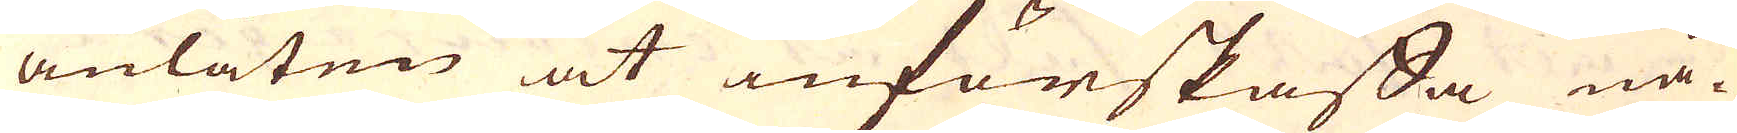anlåten at införskaffa nå-
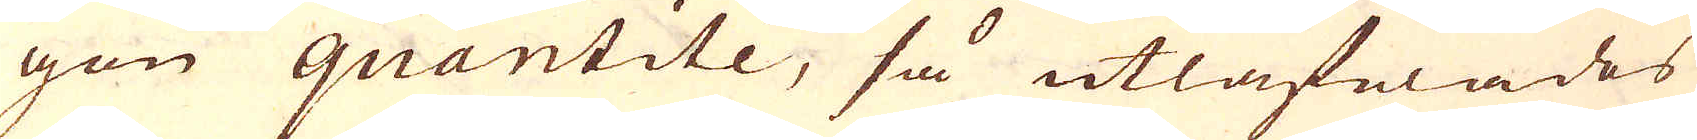gon quantite, så utlåfwades
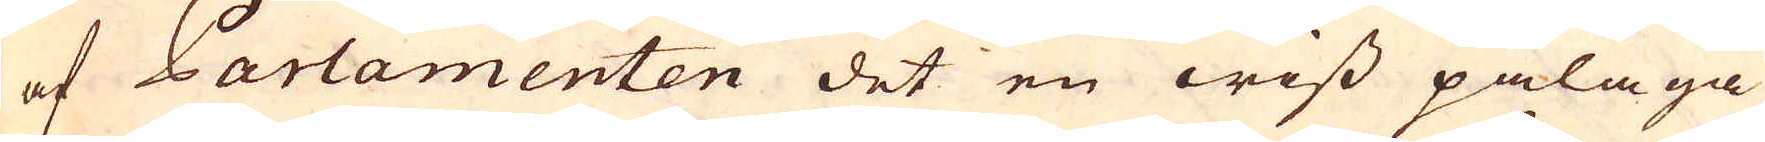af Parlamenten det en wiss pålaga
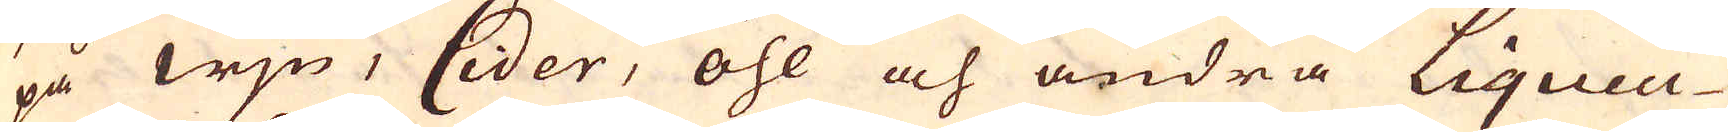på wjn, Cider, öhl och andra Liqueu-
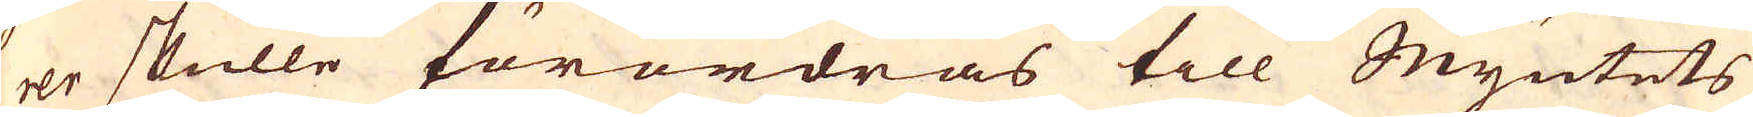rer skulle förordras till Myntets
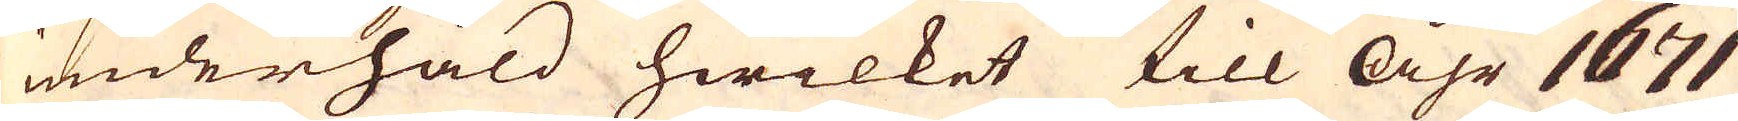underhåld hwilket till åhr 1671
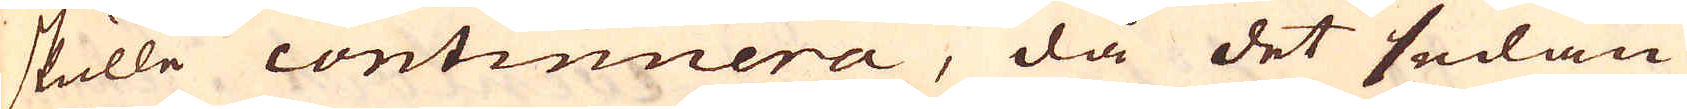skulle continuera, då det sedan
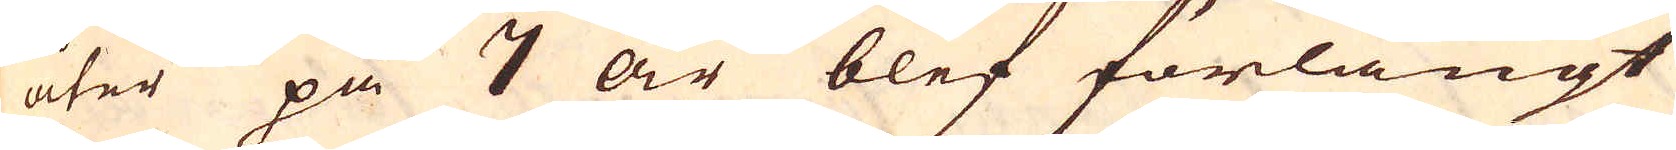åter på 7 år blef förlängt
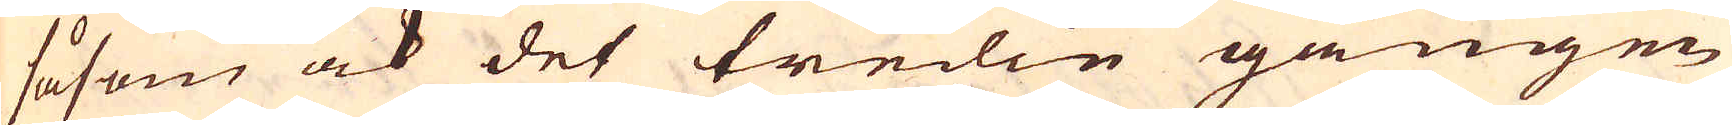såsom ock det tredie gången
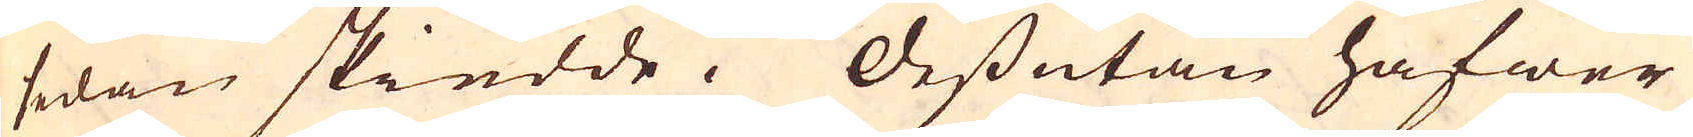sedan skiedde. Dessutan hafwer
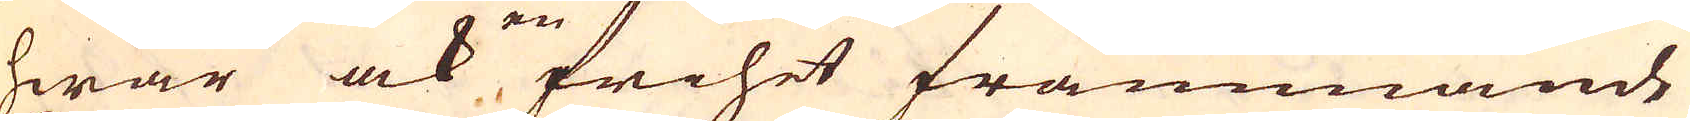hwar ock en frihet främmande
